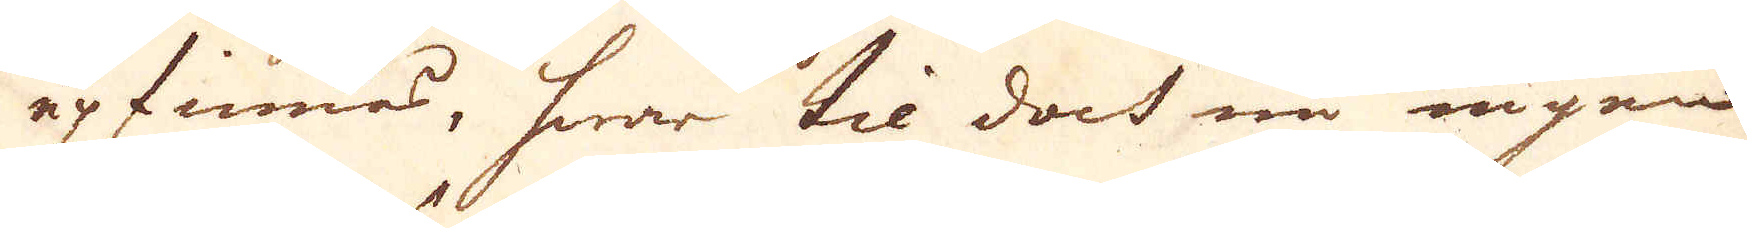upfinnas, hwar til doch nu ingen
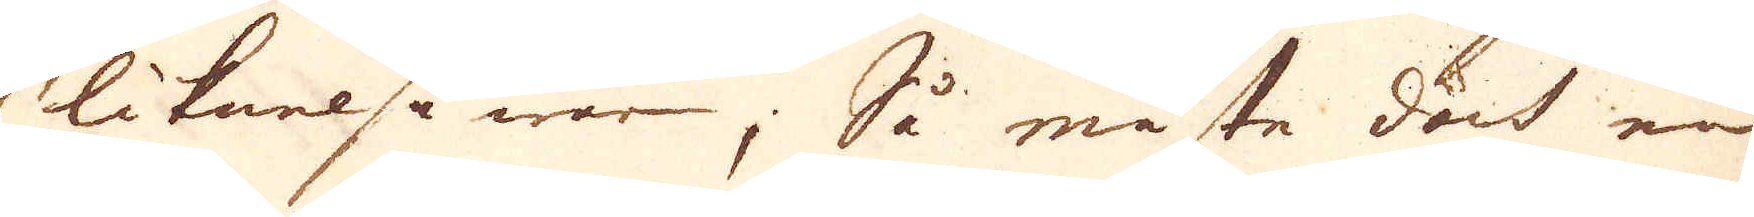liknelse war; Så måste doch en
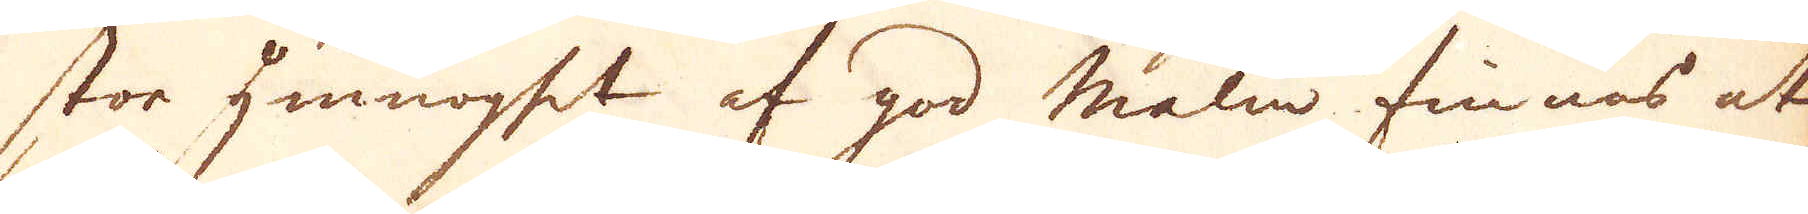stor ymnoget af god malm finnas at
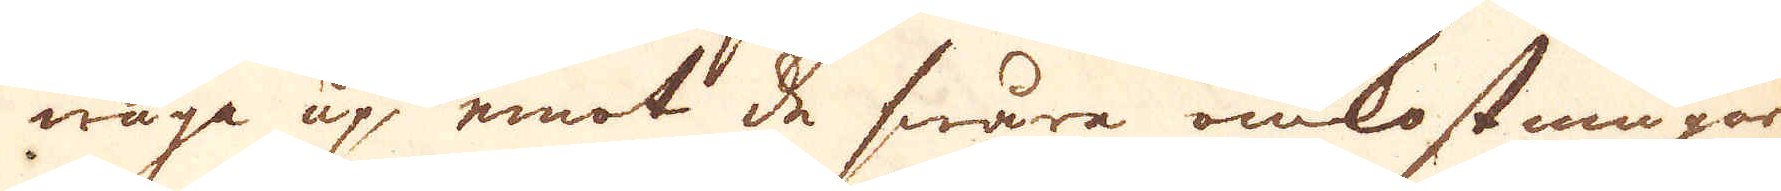wäga up emot de swåra omkostningar
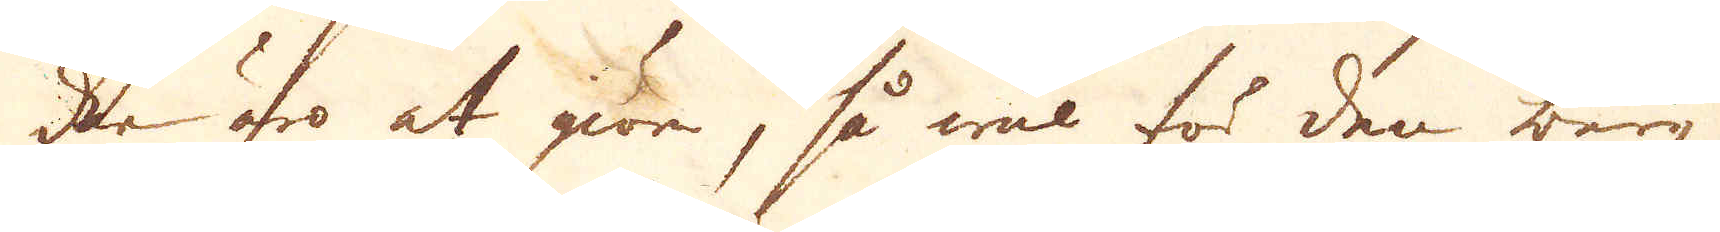den äro at giöre, så wäl för den berg-
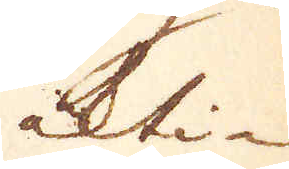ackti-
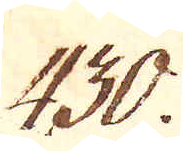430.
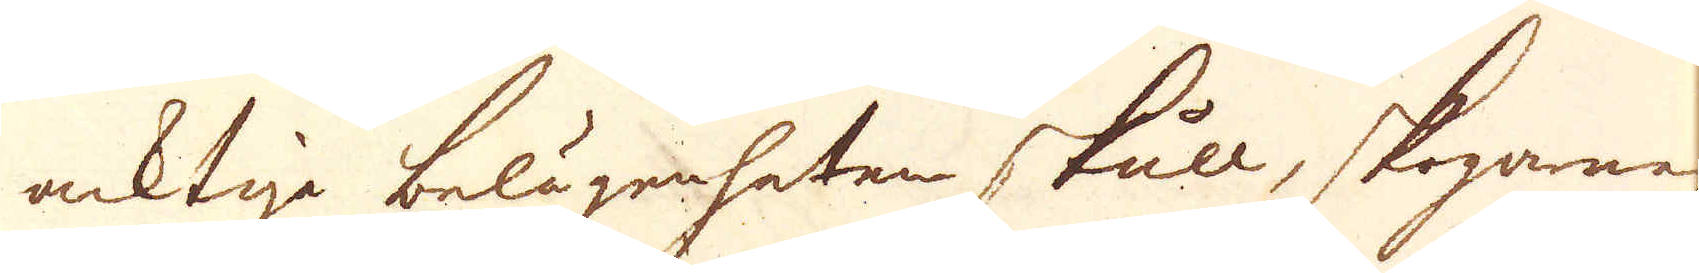acktiga belgänheten skull, skoganas
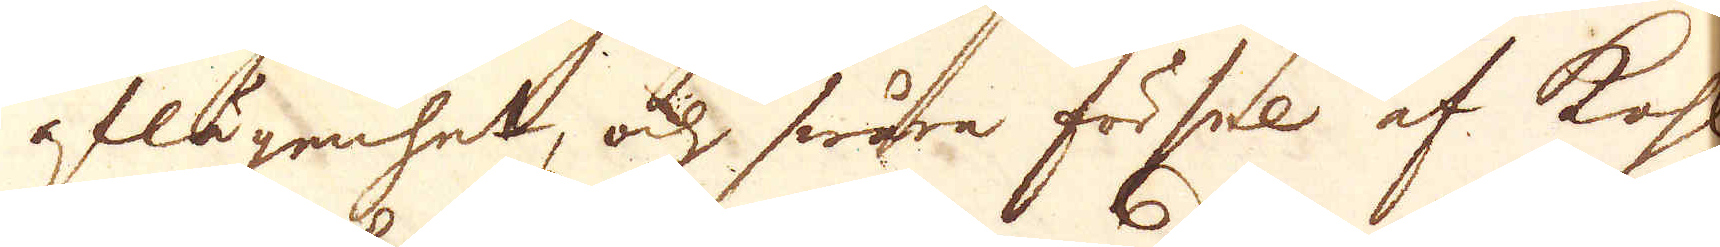aflägenhet, och swåra försel af kohl
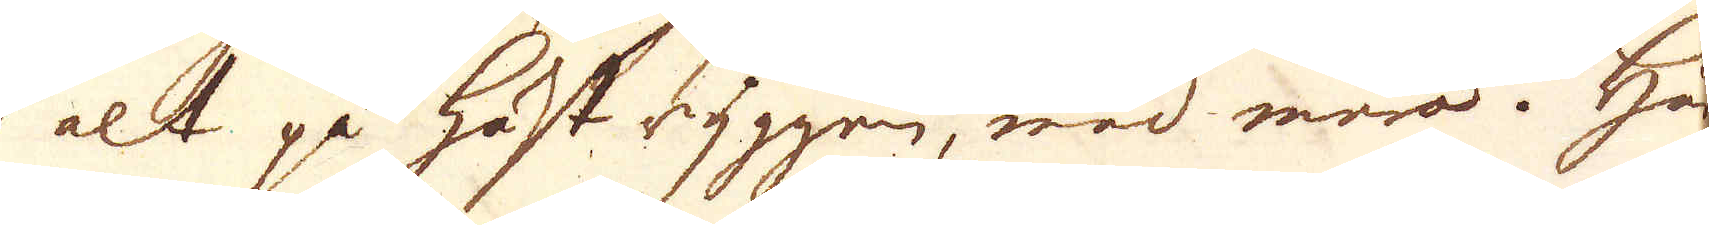alt på häst ryggen, med mara. Här-
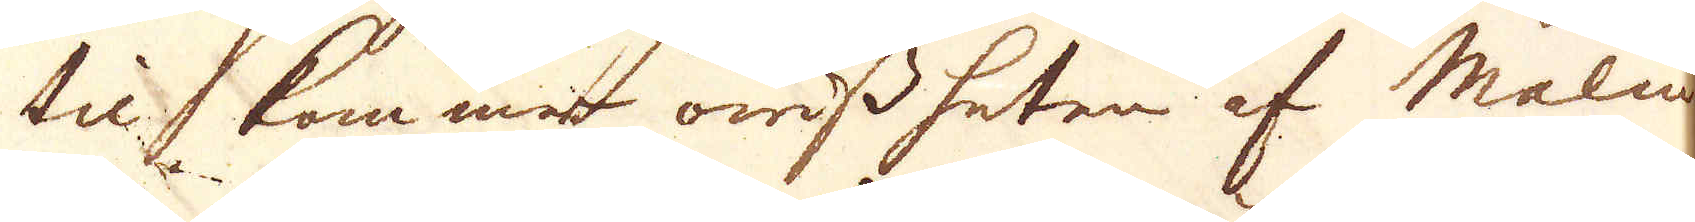til, kommer owissheten af Malm
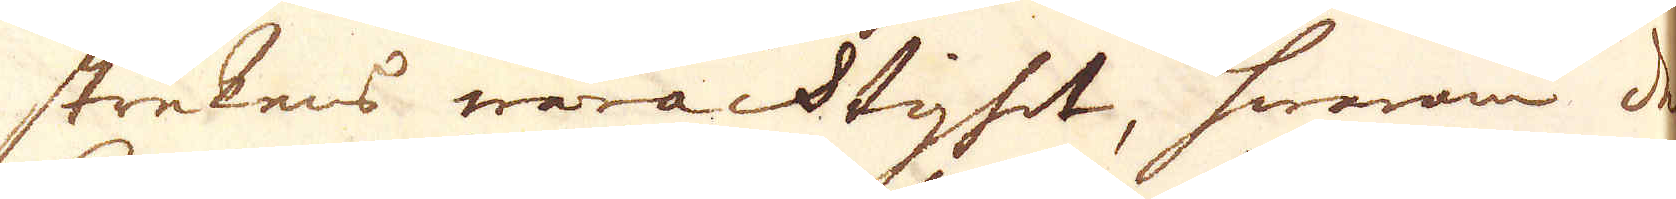strekens waracktighet, hwarom det
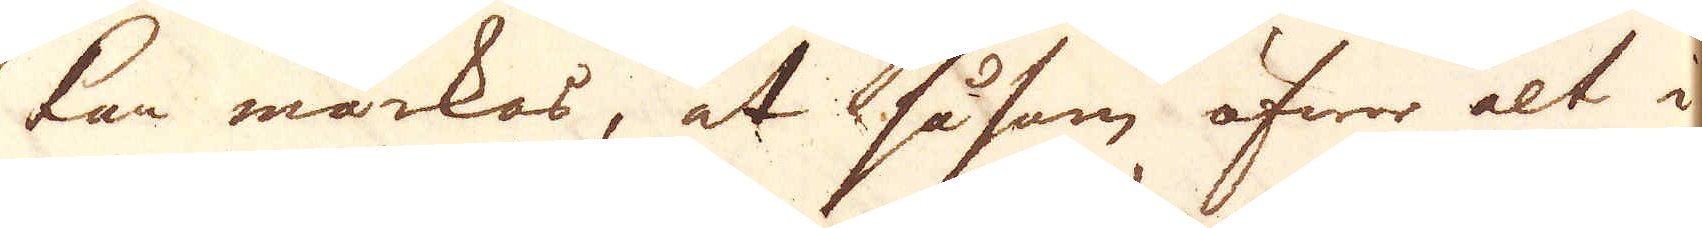kan märkas, at såsom öfwer alt i
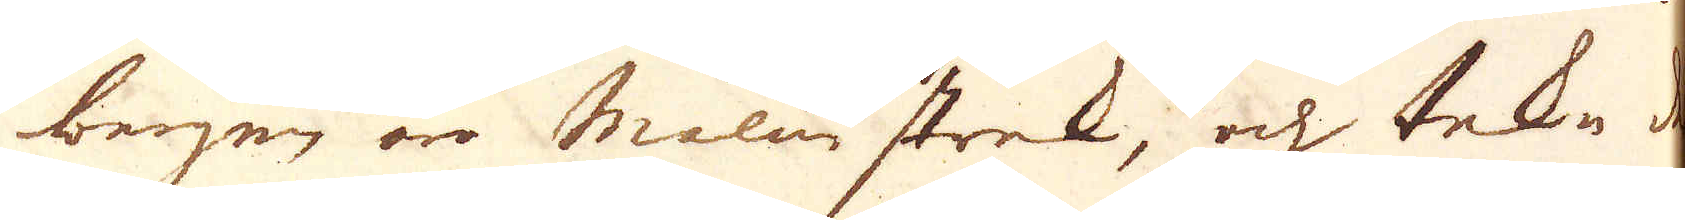bergen äro malm strek, och tekn der
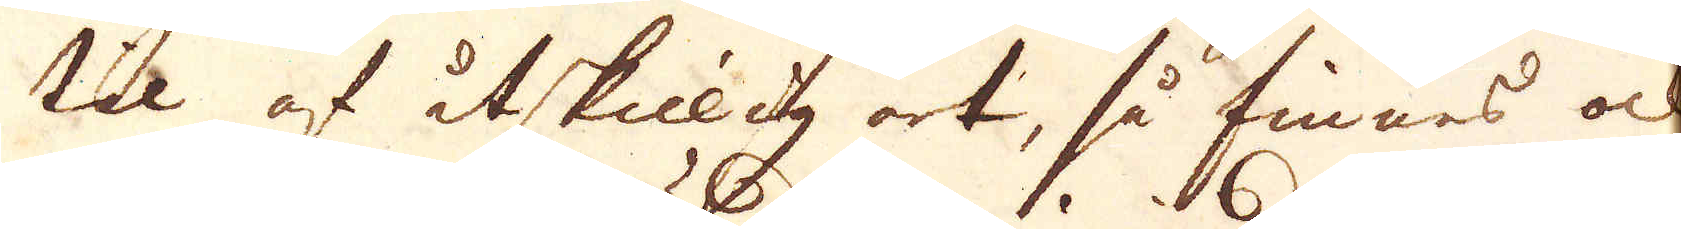til af åtskiilid art, så finnes och
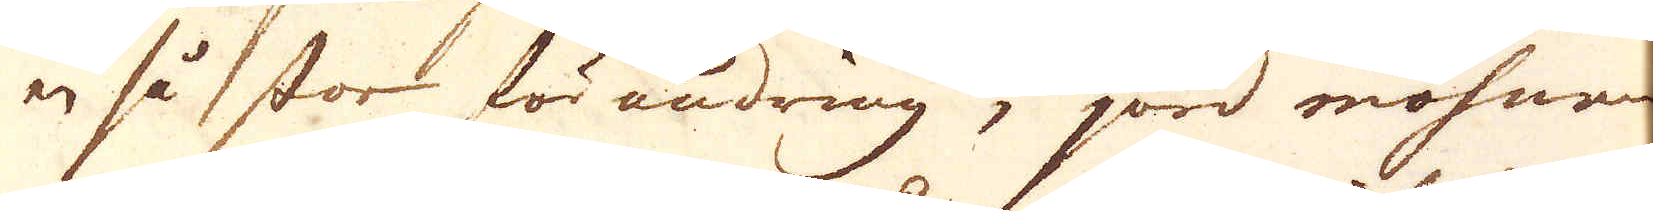en så stor förändring i jord mohnen
